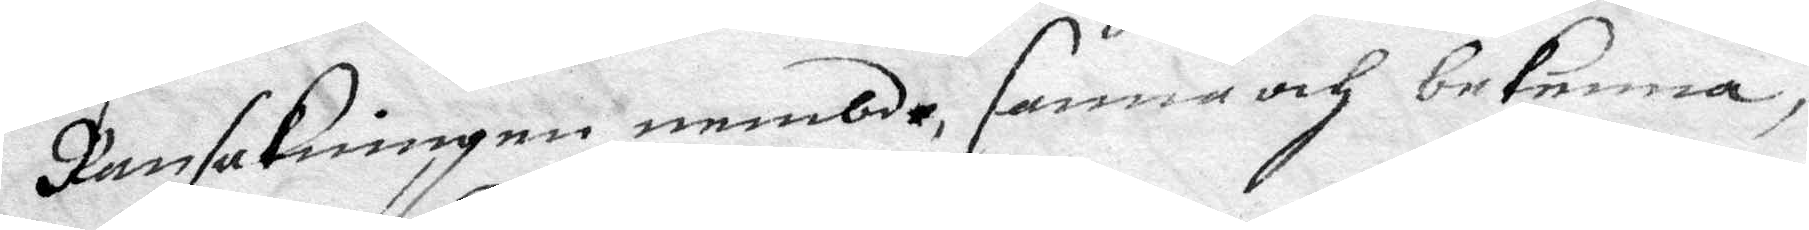Ransakningen nembde, sanna och bekenna,
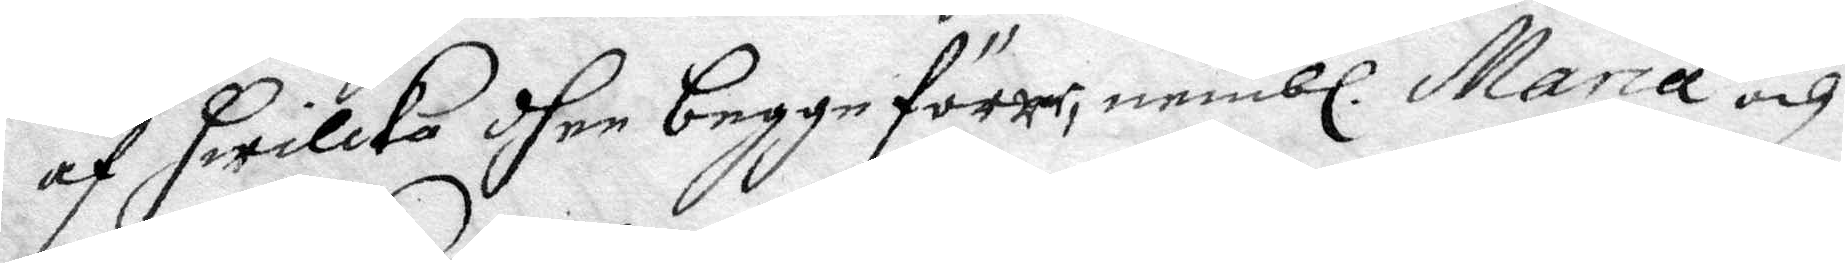af hwilka dher begge förer, nembl. Maria och
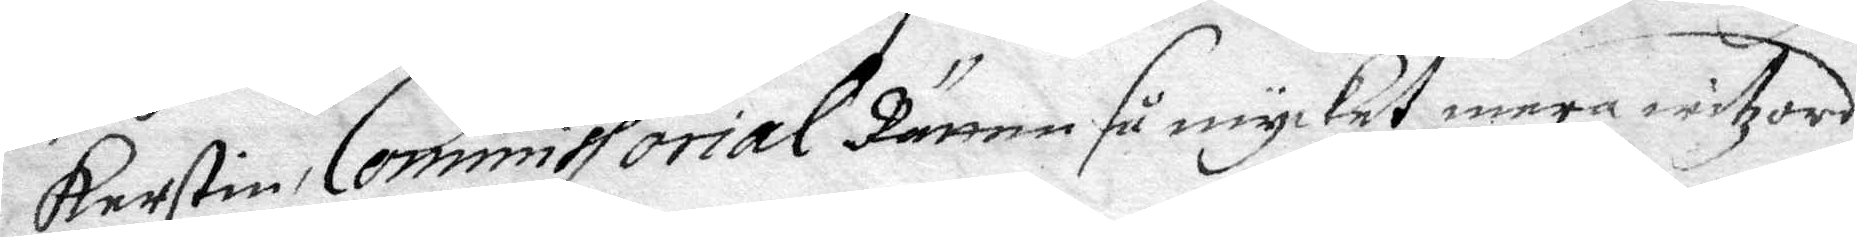Kerstin Commissorial Rätten så mycket mera witzord
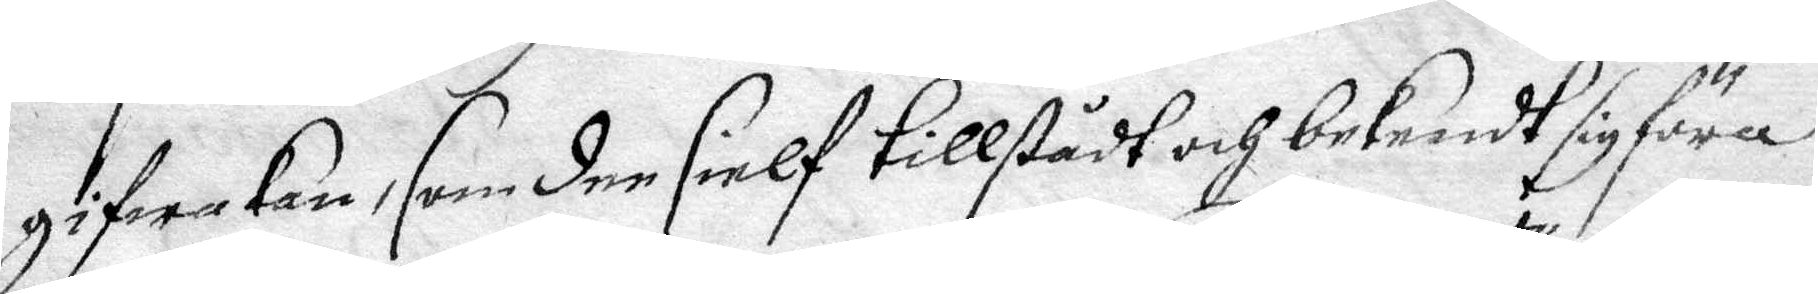gifwa kan, som dee sielf tillstådt och bekendt sig föra
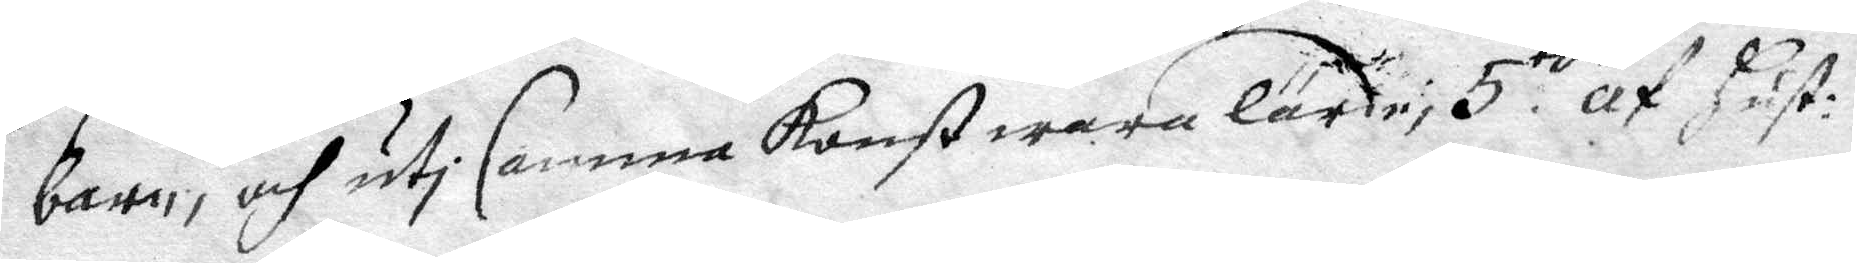barn, och uti samma konst wara lärd, 5to af hust:
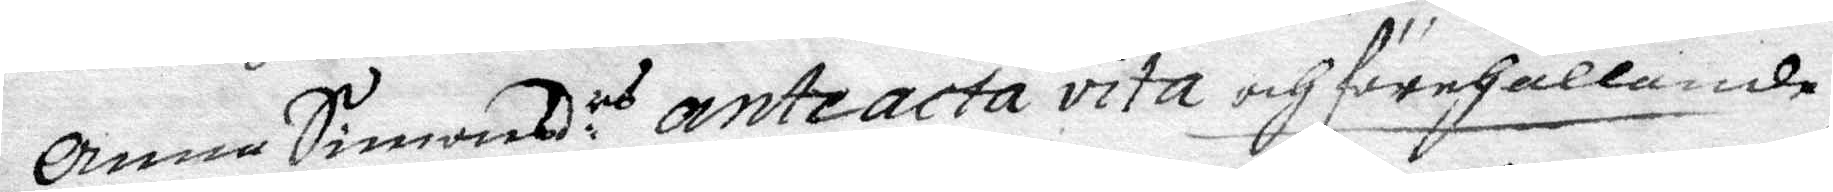Anna Simonsd:rs anteacta vita och förehållande
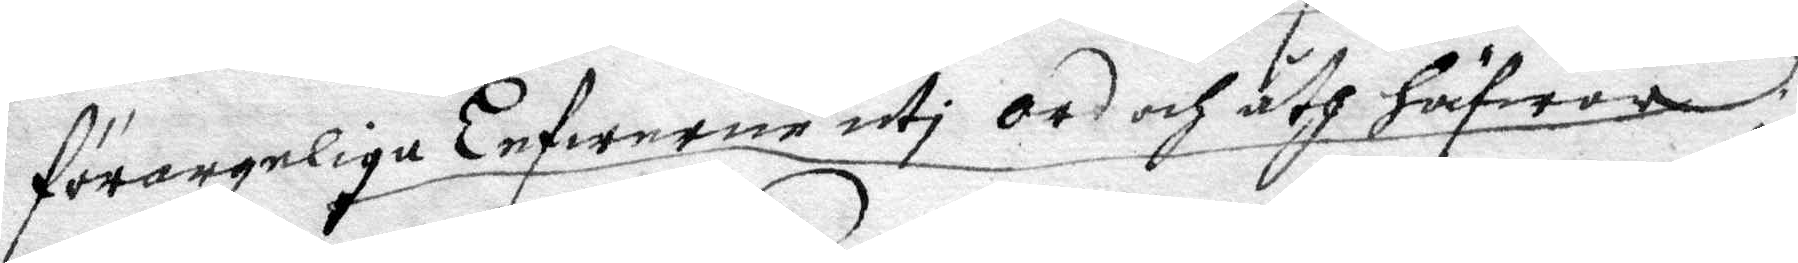förargeliga Lefwerne uti ord och åth häfwor,
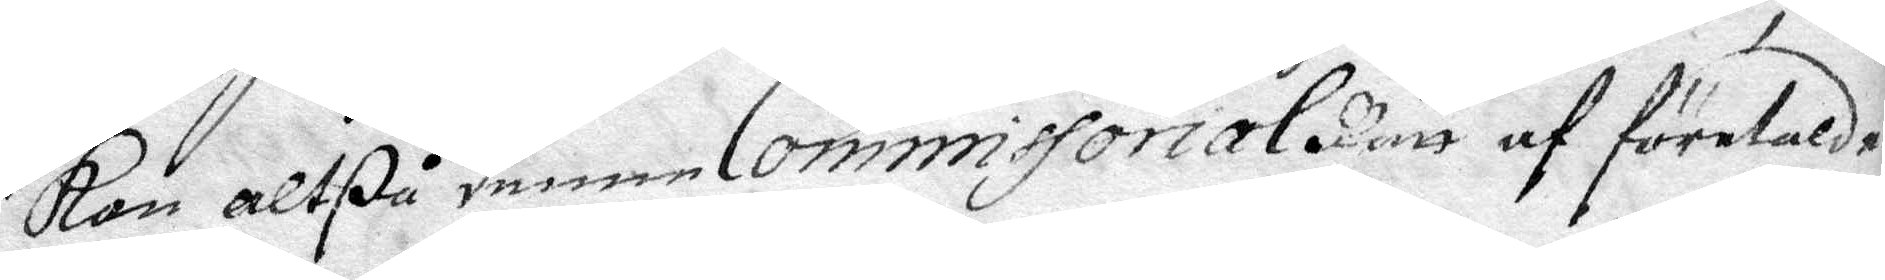kan altßå denne Commissorial Rätt af förelade
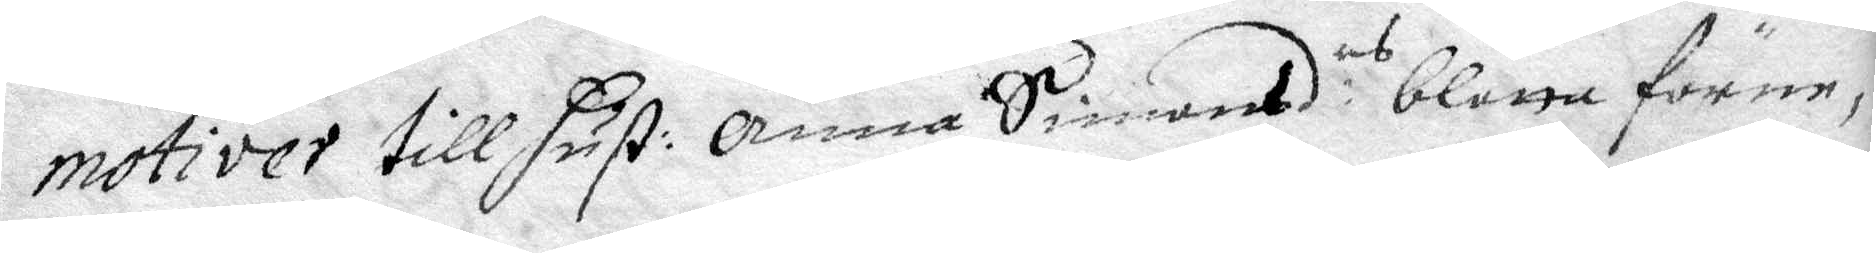motivet till hust: Anna Simonsd:rs blotta förne¬
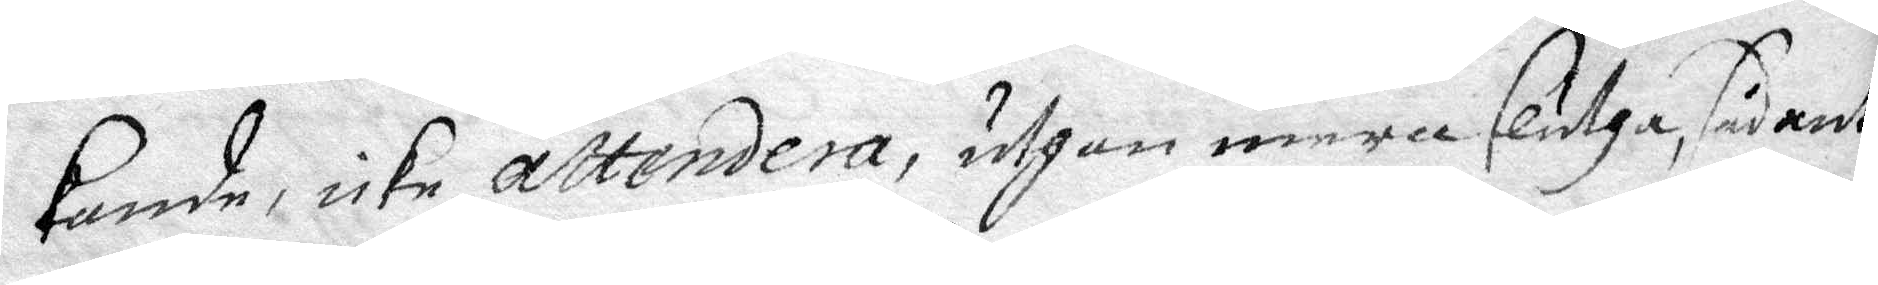kande icke attendera, uthan mera slutha, sådant
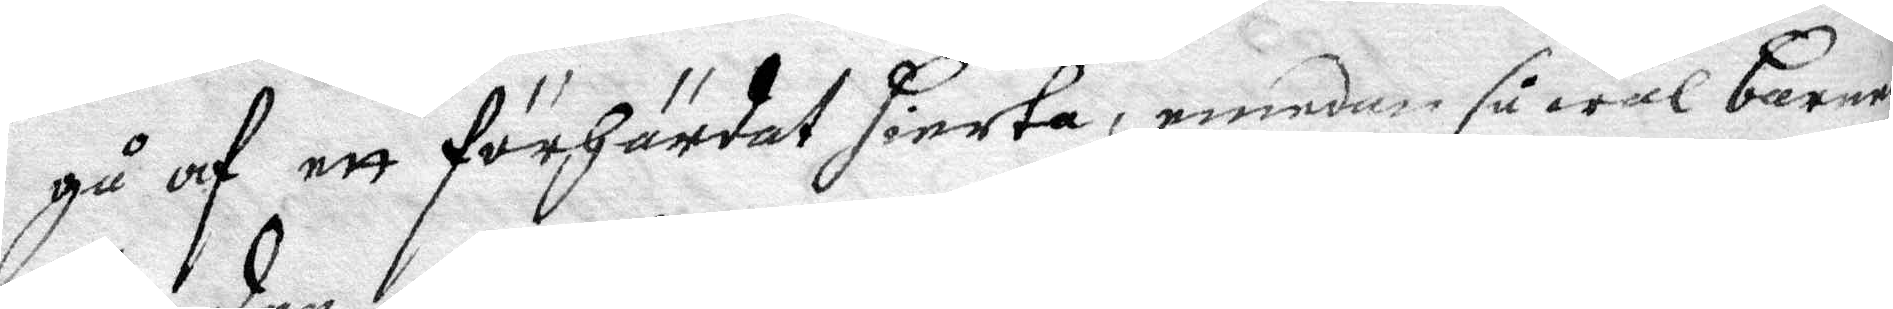gå af ett förhärdat hierta, emedan så wäl barnen
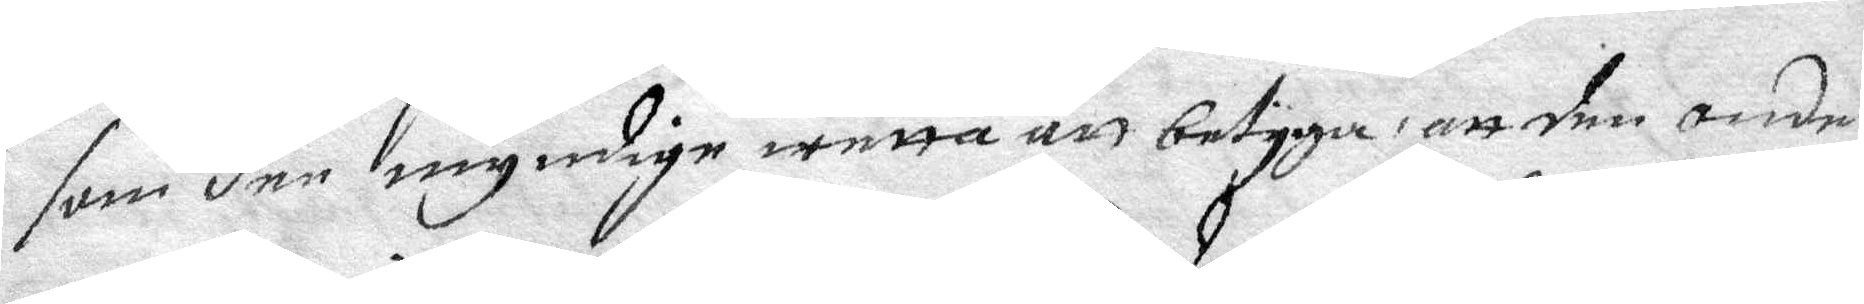som den myndige wetta att betyga, att den onde
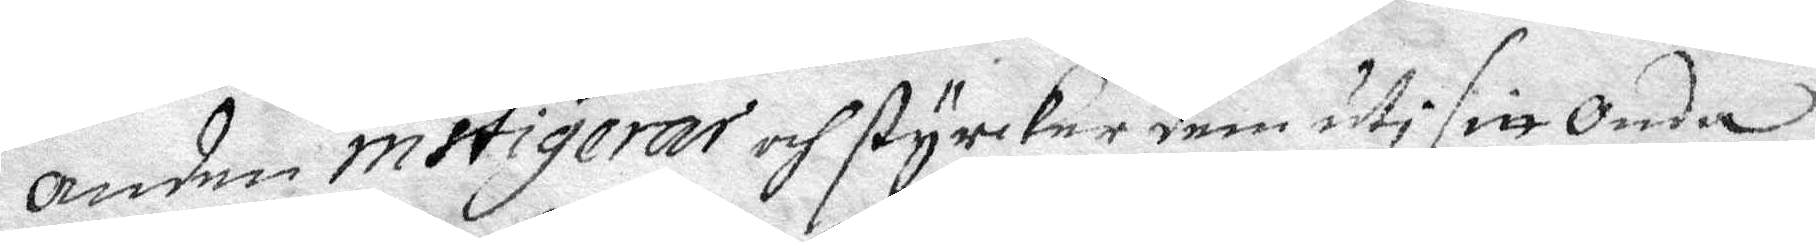anden instigerar och styrker dem uti sitt onda
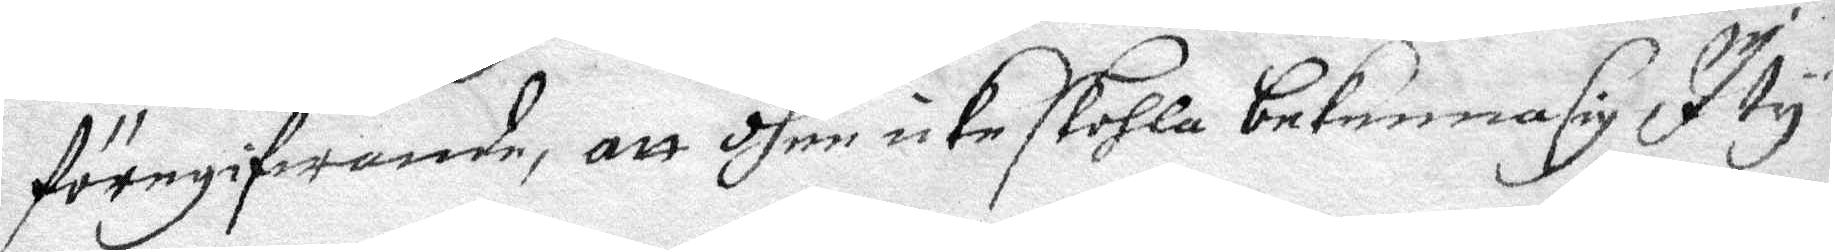föregifwande, att dhem icke skohla bekenna sig I ty
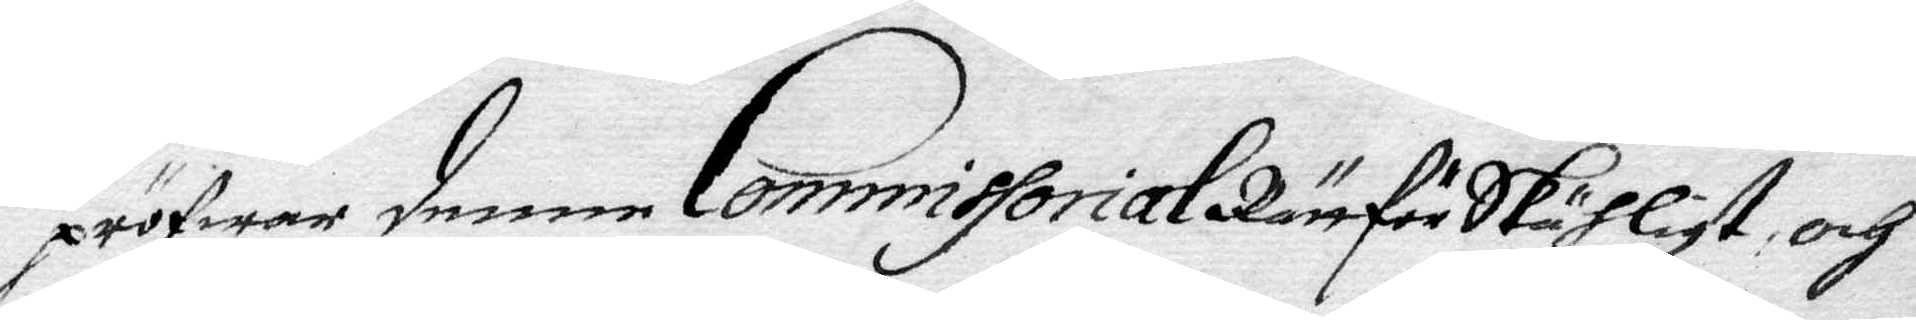pröfwar denne Commissorial Rätt för Skähligt och
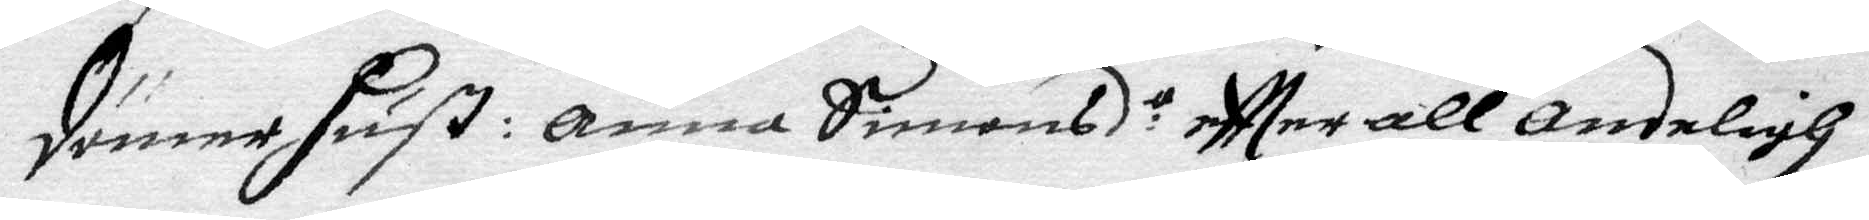dömer hust: Anna Simonsd:r eftter all andeligh
